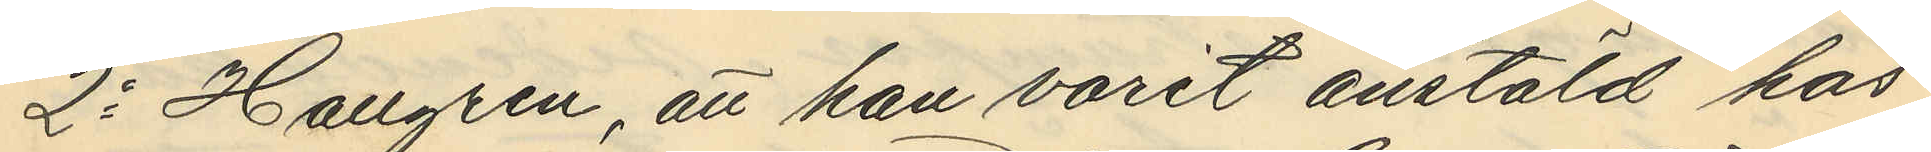2o Hallgren, att han varit anstäld hos
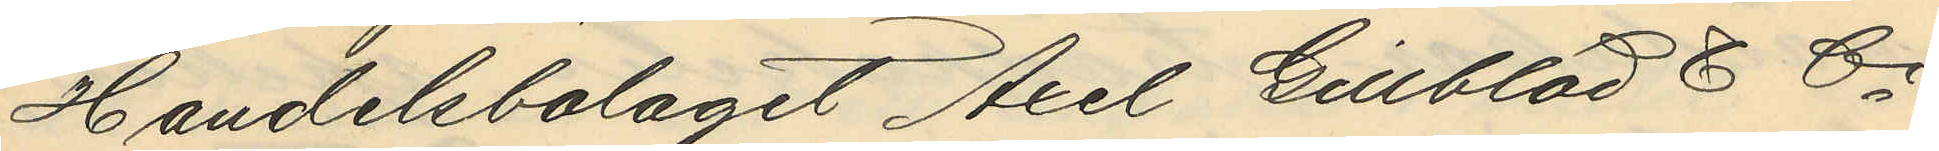Handelsbolaget Axel Gillblad & Ci
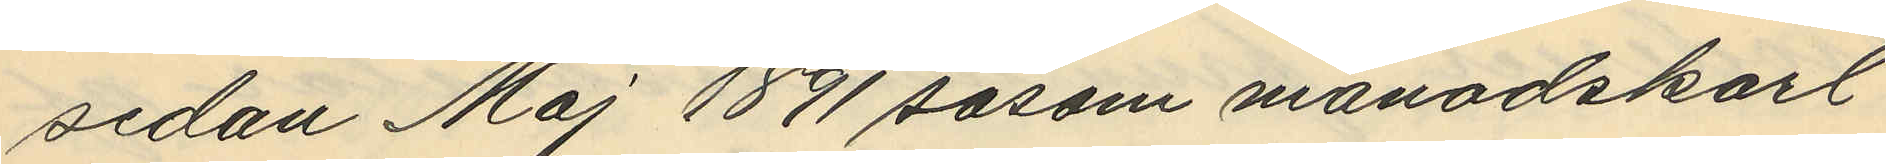sedan Maj 1891 såsom månadskarl
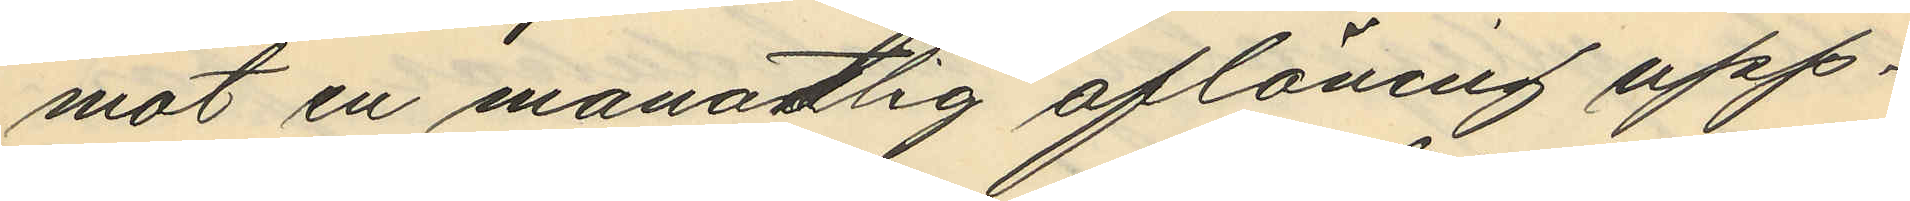mot en månatlig aflöning upp¬
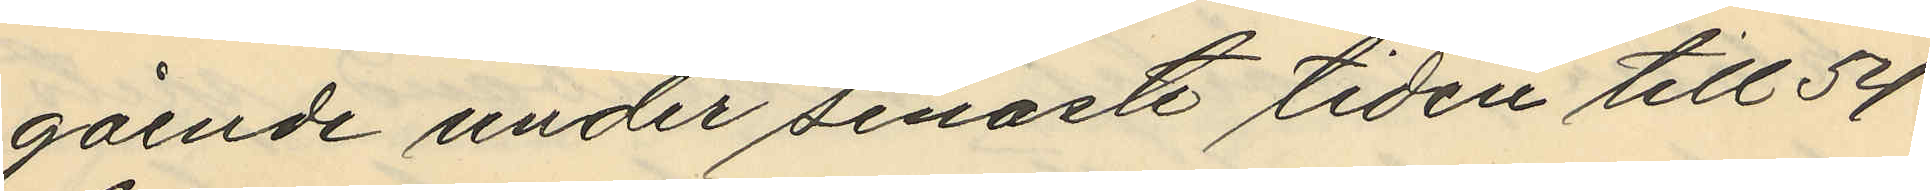gående under senaste tiden till 54
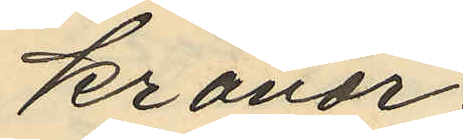kronor;
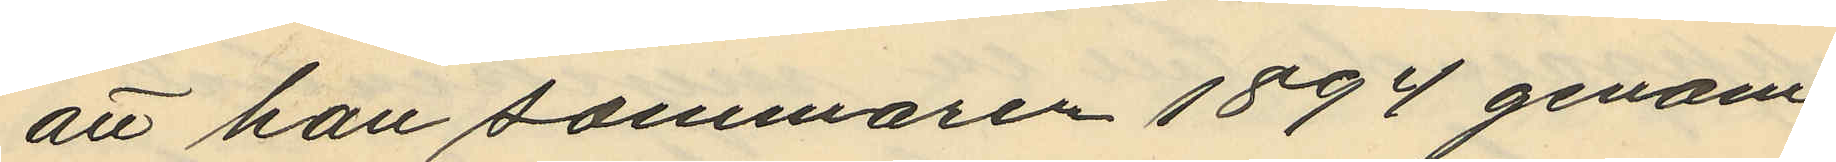att han sommaren 1894 genom
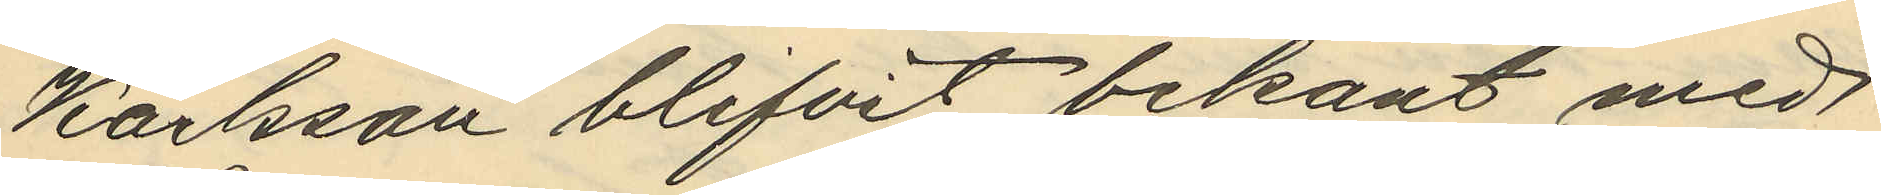Karlsson blifvit bekant med
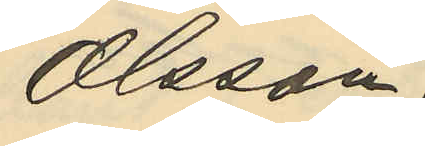Olsson,
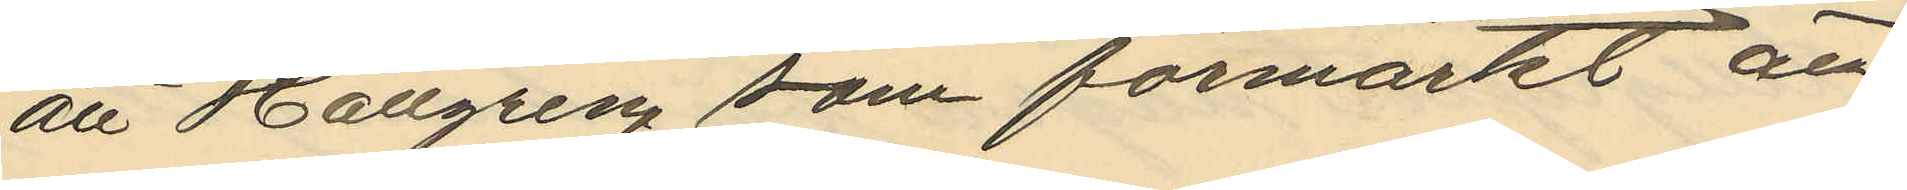att Hallgren som förmärkt att
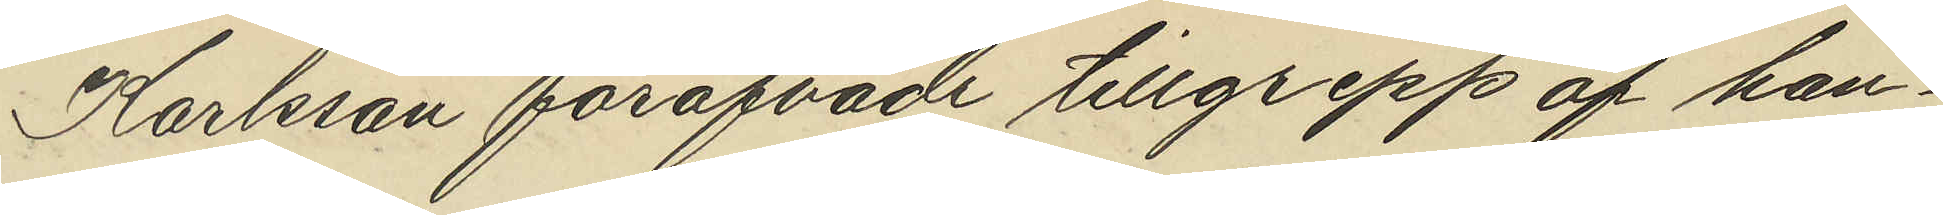Karlsson föröfvade tillgrepp af han¬
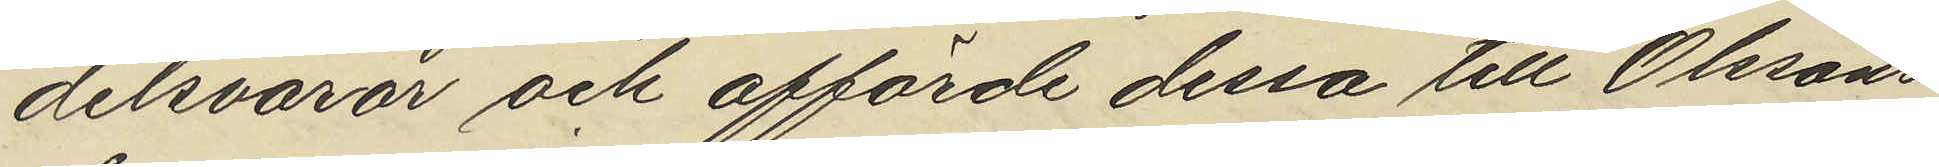delsvaror och afförde dessa till Olssons
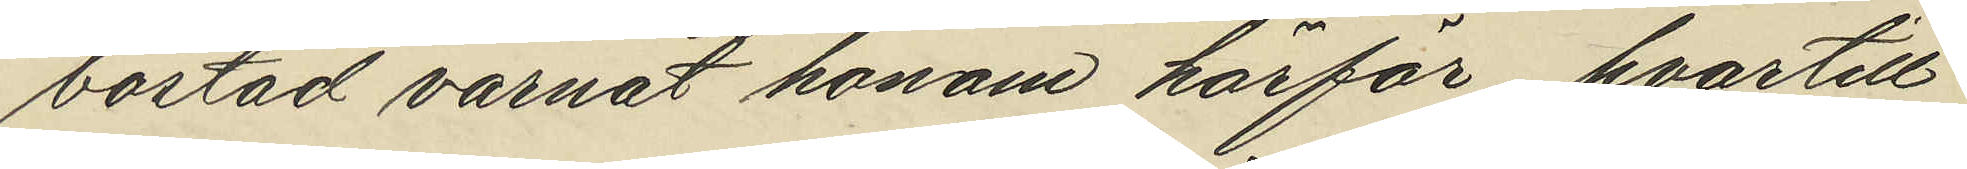bostad varnat honom härför hvartill
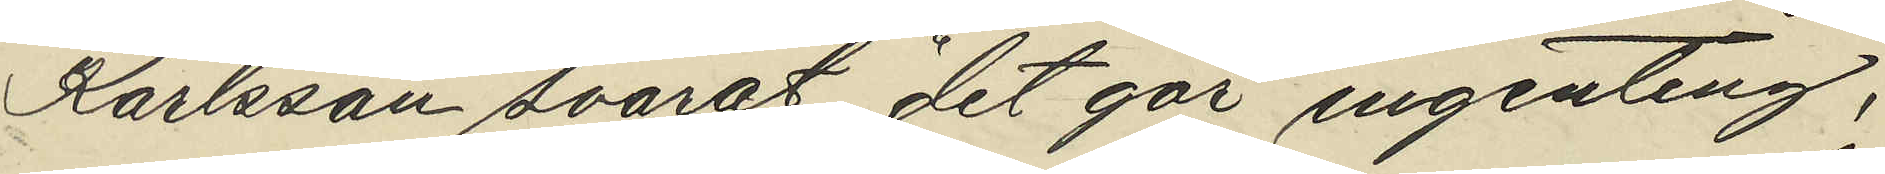Karlsson svarat det gör ingenting,
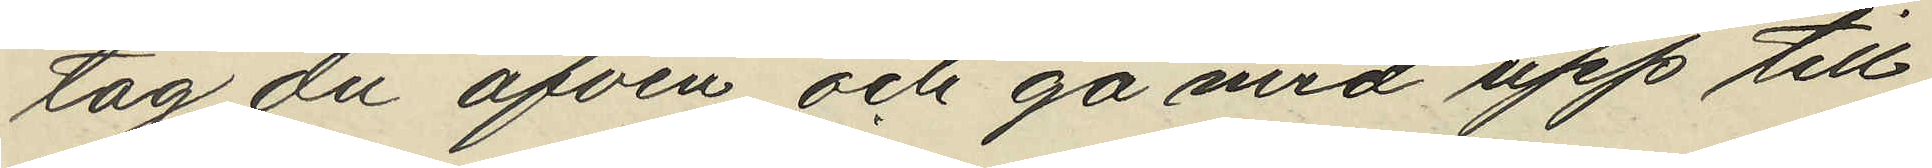tag du äfven och gå med upp till
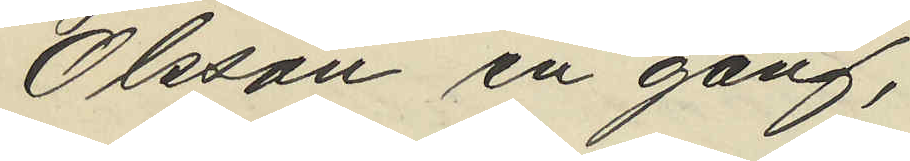Olsson en gång,
